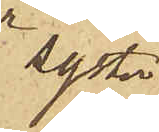syster
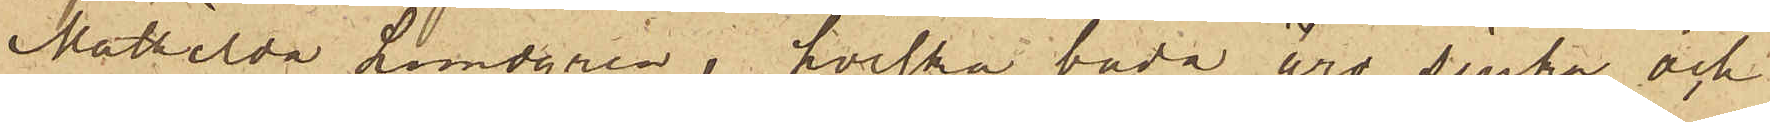Mathilda Lundgren, hvilka båda äro sjuka och
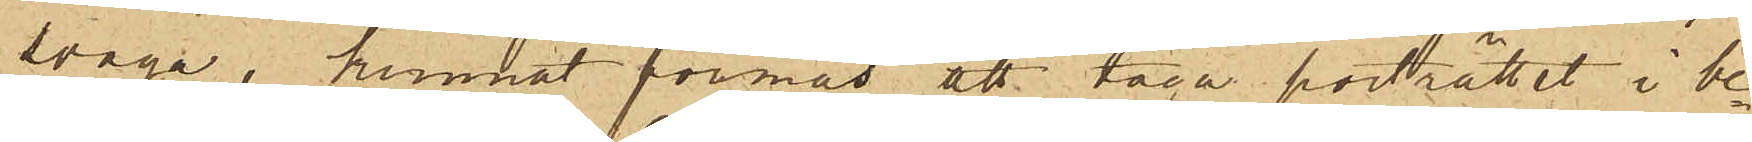svaga, kunnat förmås att taga porträttet i be¬
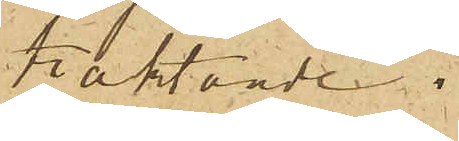traktande.
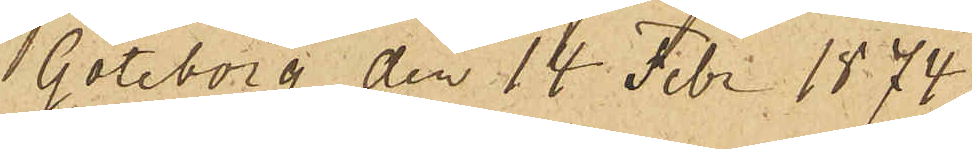Göteborg den 14 Febr 1874.
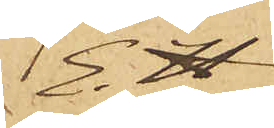E. H.
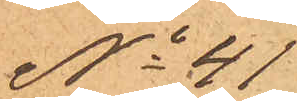No 41
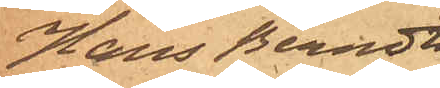Hans Berndt¬
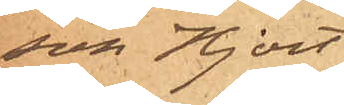son Hjort.
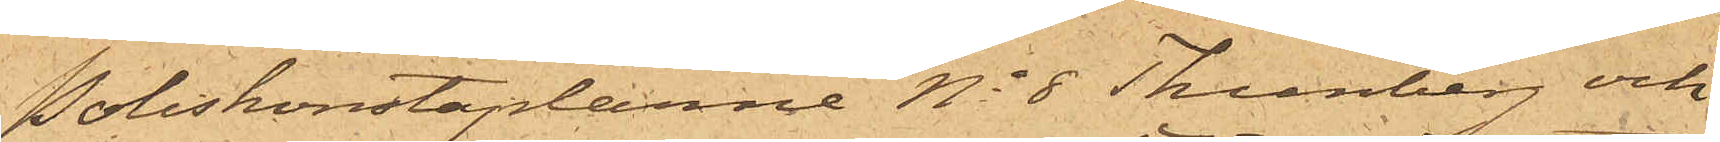Poliskonstaplarne No 8 Thenberg och
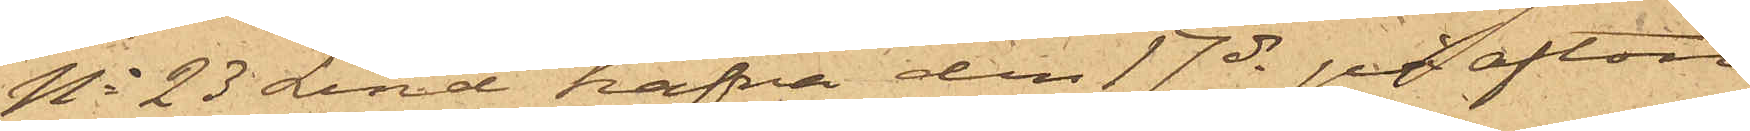No 23 Lind hafva den 17 ds på afton
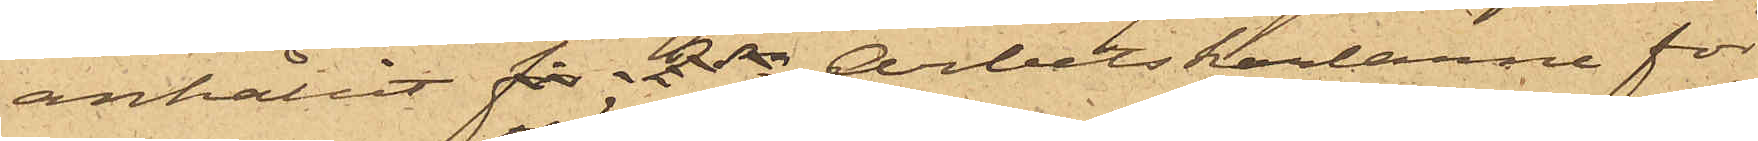anhållit för 2dra Arbetskarlarne för
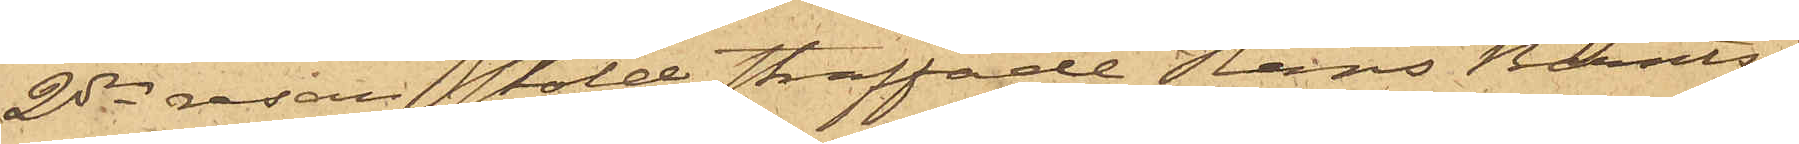2dra  resan stöld straffade Hans Berndts¬
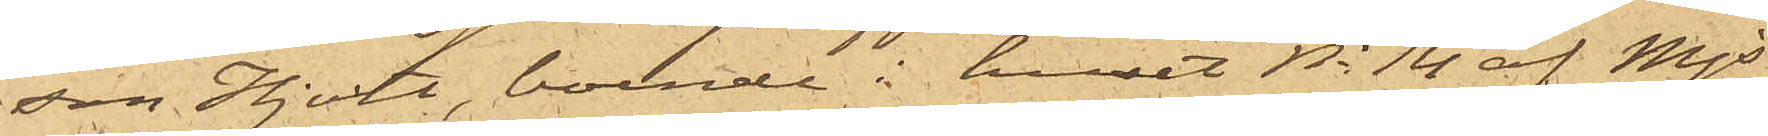son Hjort, boende i huset No 14 af Mjs
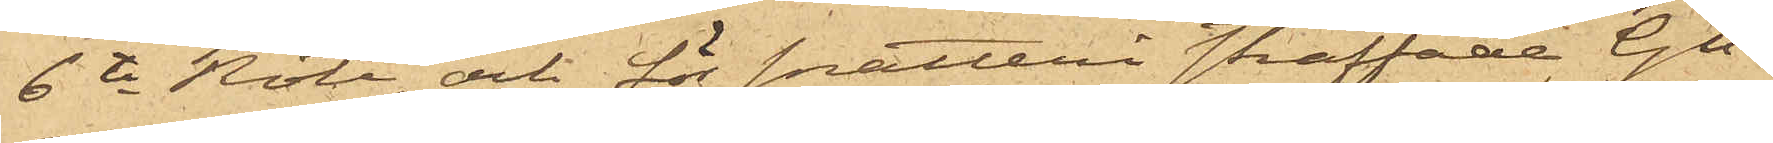6te Rote, och för snatteri straffade Gu¬
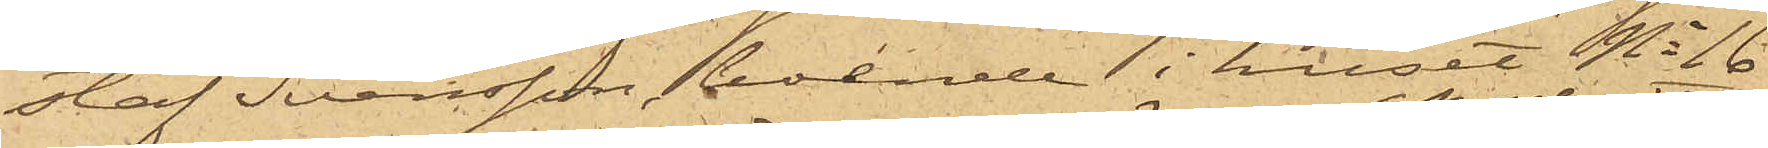staf Svensson, boende i huset No 16
